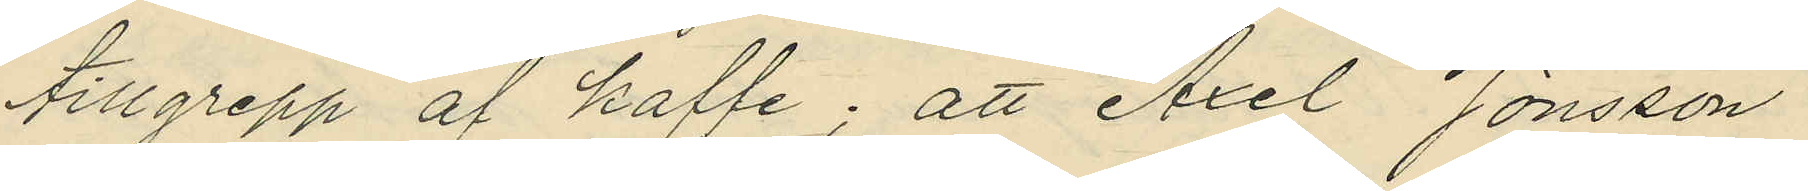tillgrepp af kaffe; att Axel Jönsson
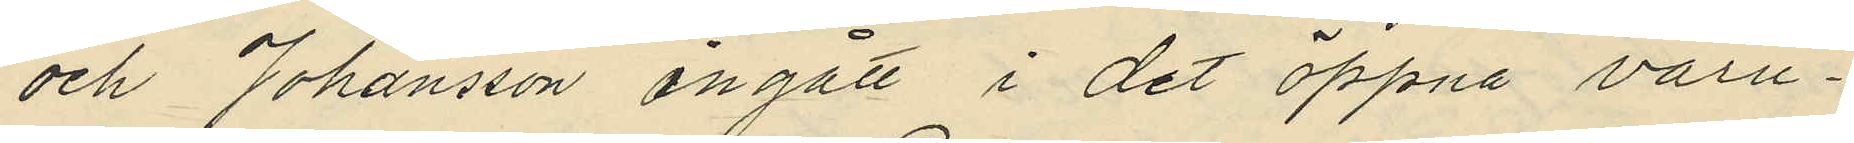och Johansson angått i det öppna varu¬
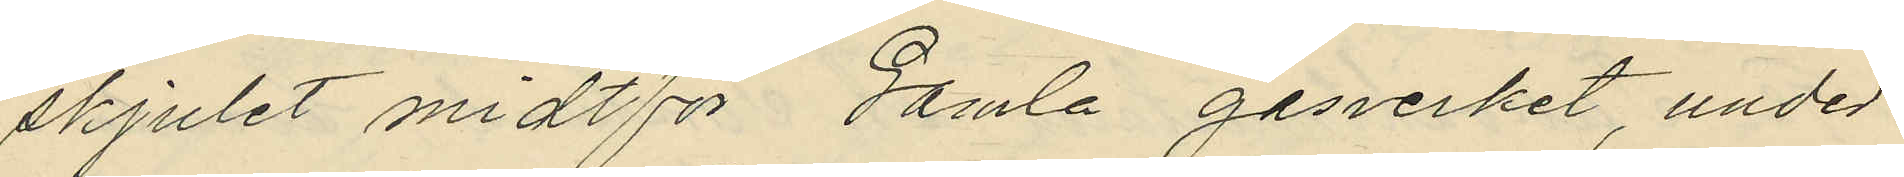skjulet midtför Gamla gasverket, under
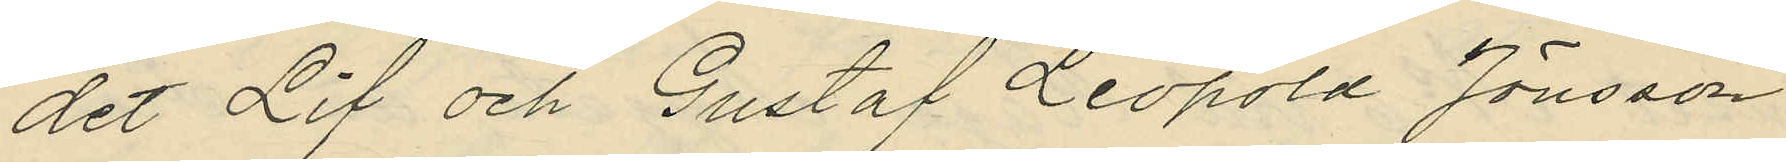det Lif och Gustaf Leopold Jönsson
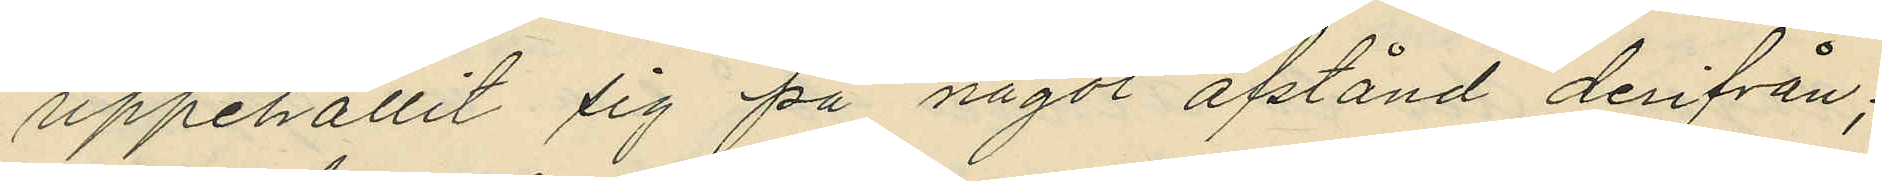uppehållit sig på något afstånd derifrån;
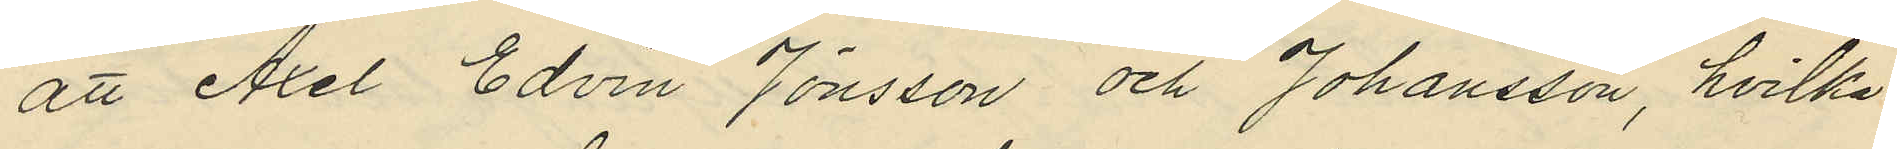att Axel Edvin Jönsson och Johansson, hvilka
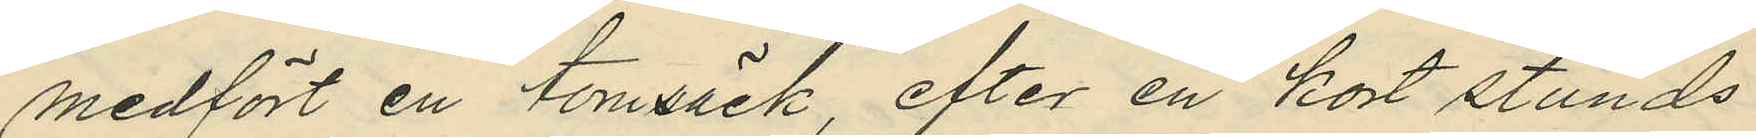medfört en tomsäck, efter en kort stunds
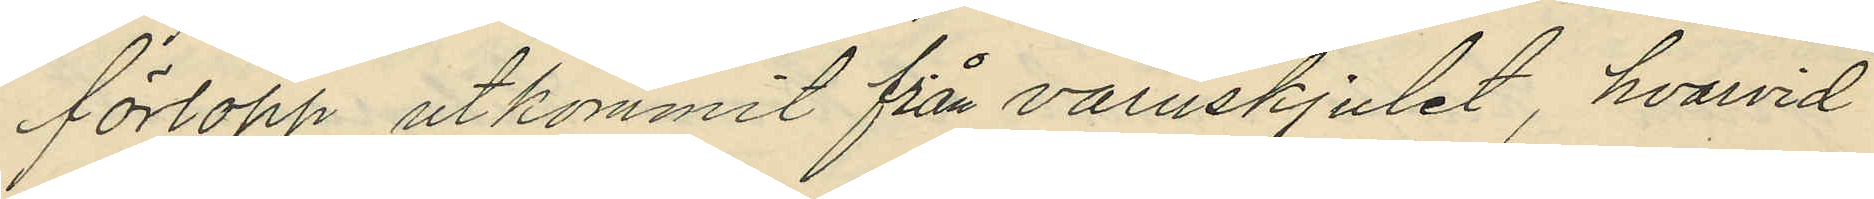förlopp utkommit från varuskjulet, hvarvid
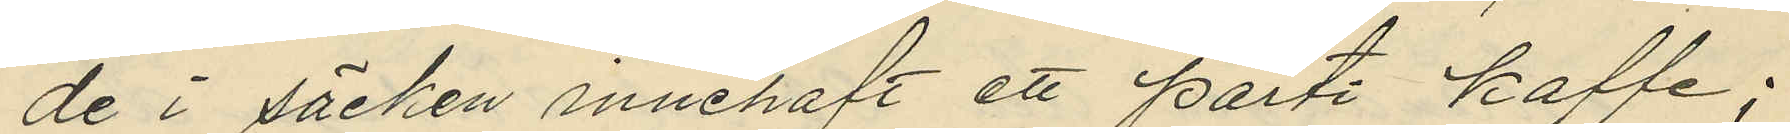de i säcken innehaft ett parti kaffe;
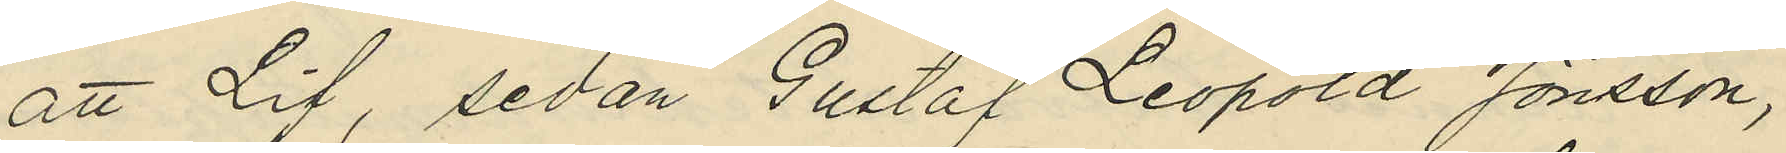att Lif, sedan Gustaf Leopold Jönsson,
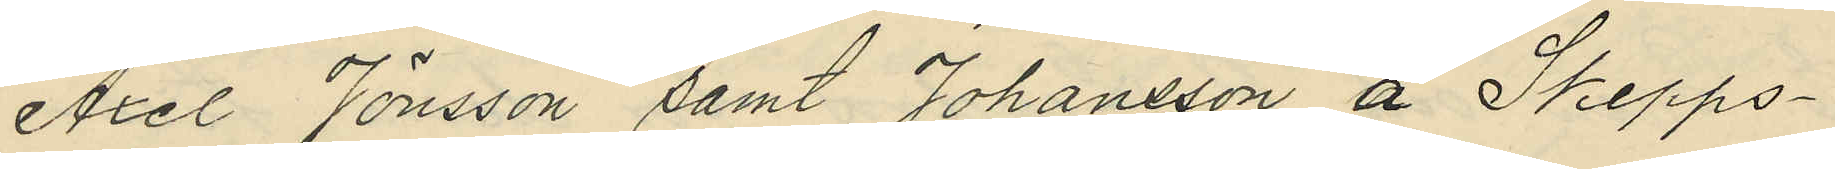Axel Jönsson samt Johansson å Skepps¬
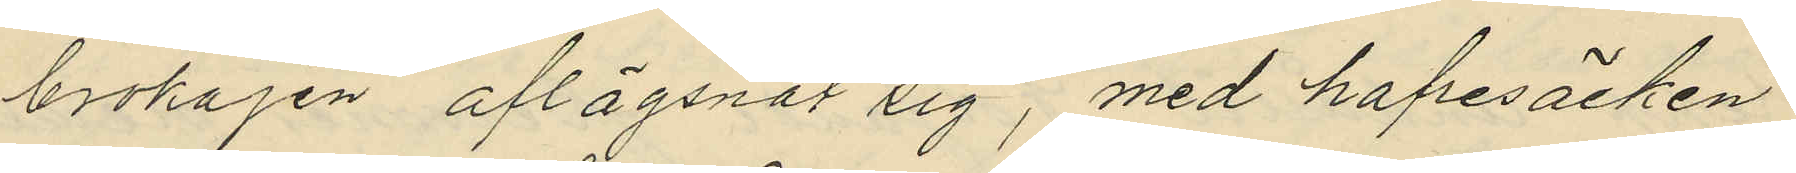brokajen aflägsnat sig, med hafresäcken
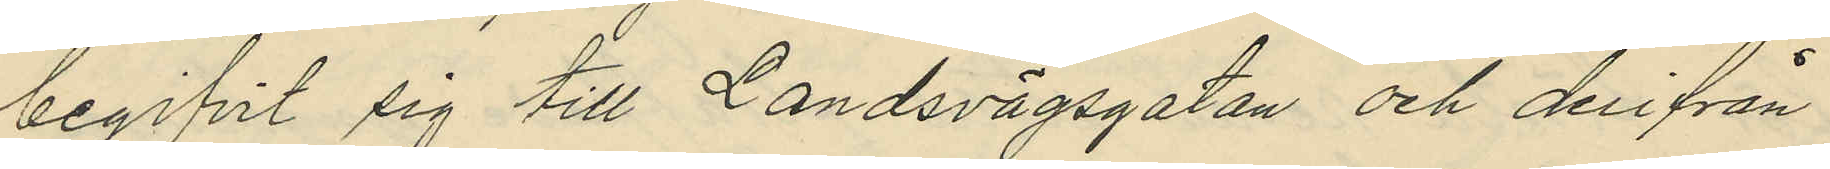begifvit sig till Landsvägsgatan och derifrån
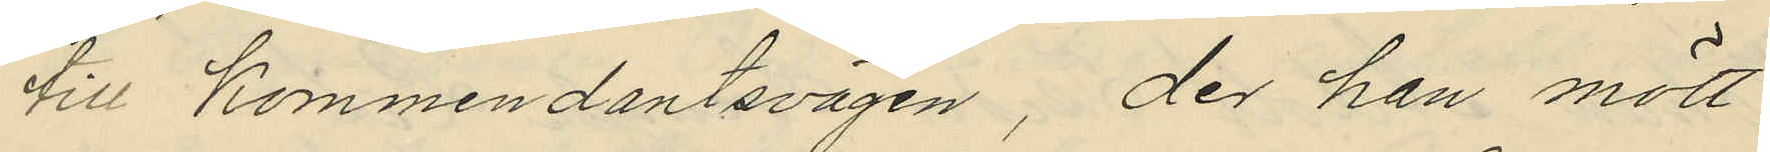till Kommendantsvägen, der han mött
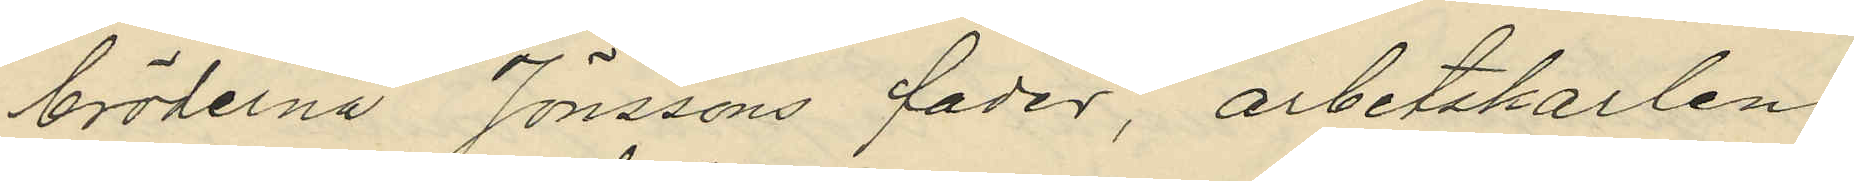bröderna Jönssons fader, arbetskarlen
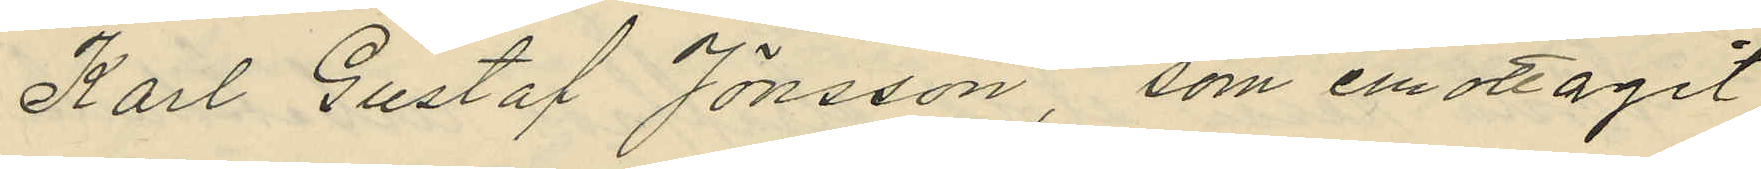Karl Gustaf Jönsson, som emottagit
